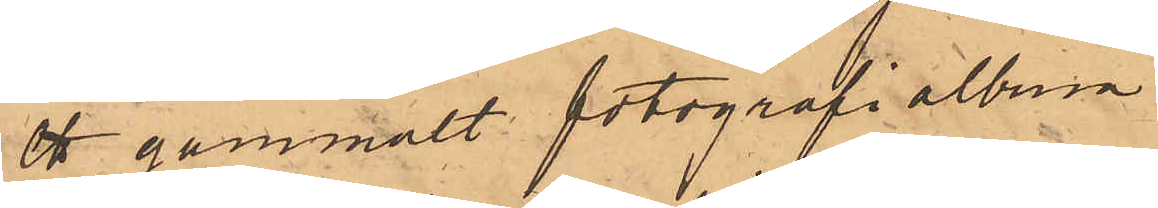ett gammalt fotografialbum
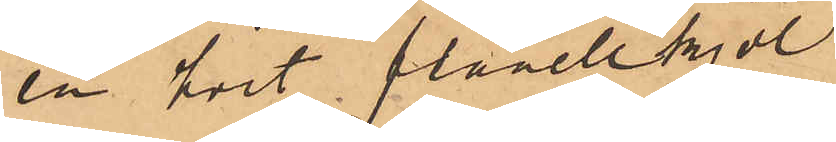en hvit flanellkjol
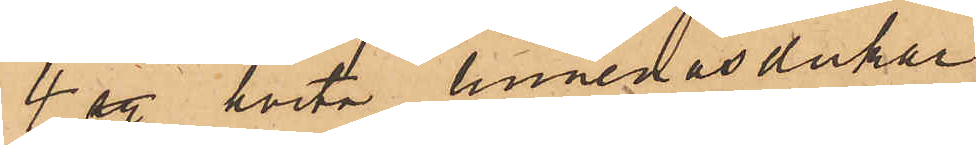4 sty. hvita linnenäsdukar
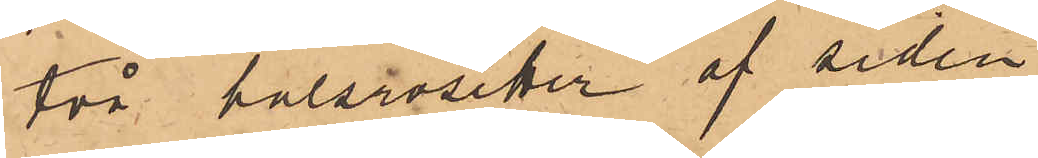två halsrosetter af siden
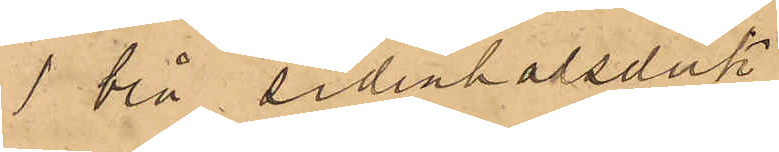1 blå sidenhalsduk
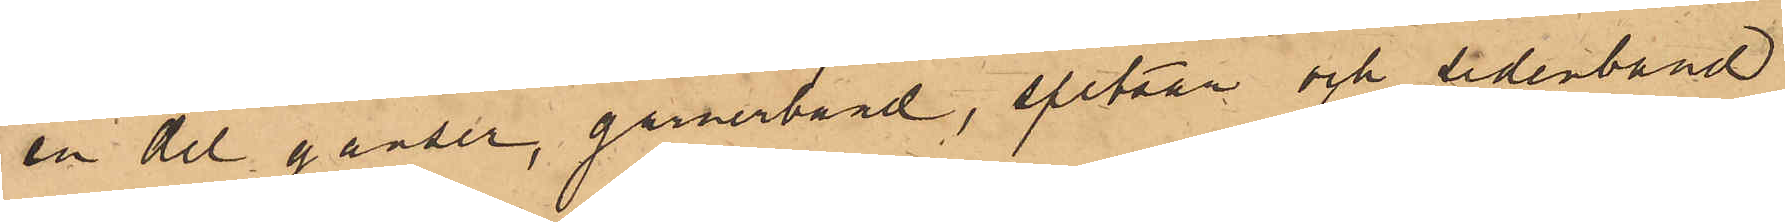en del ganser, garnerband, spetsar och sidenband
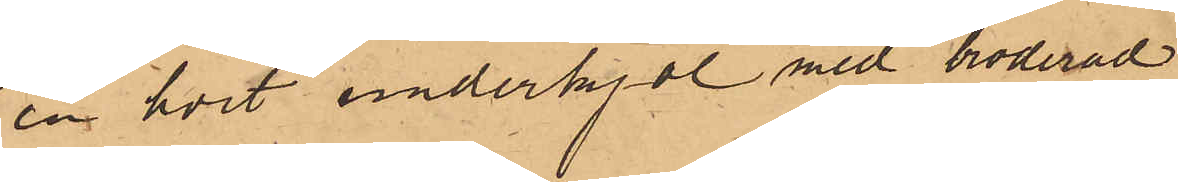en hvit underkjol med broderad
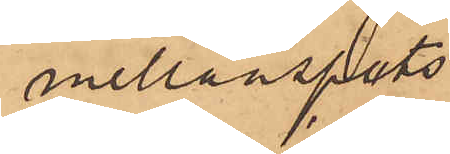mellanspets
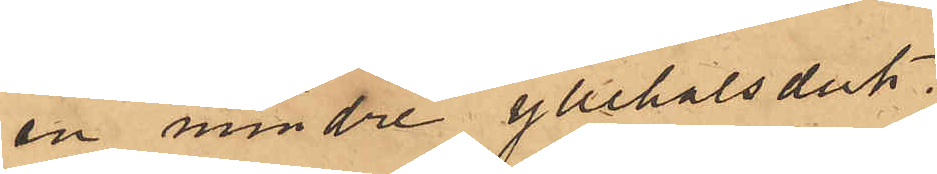en mindre yllehalsduk,
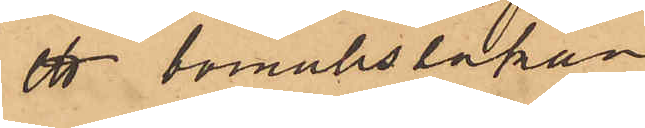ett bomullslakan
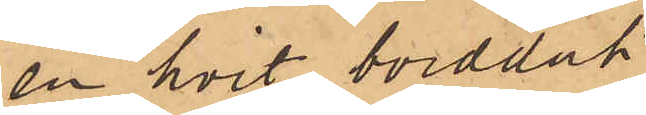en hvit bordduk
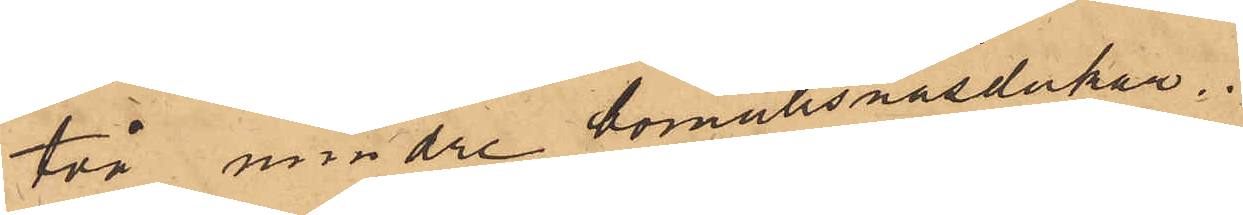två mindre bomullsnäsdukar.
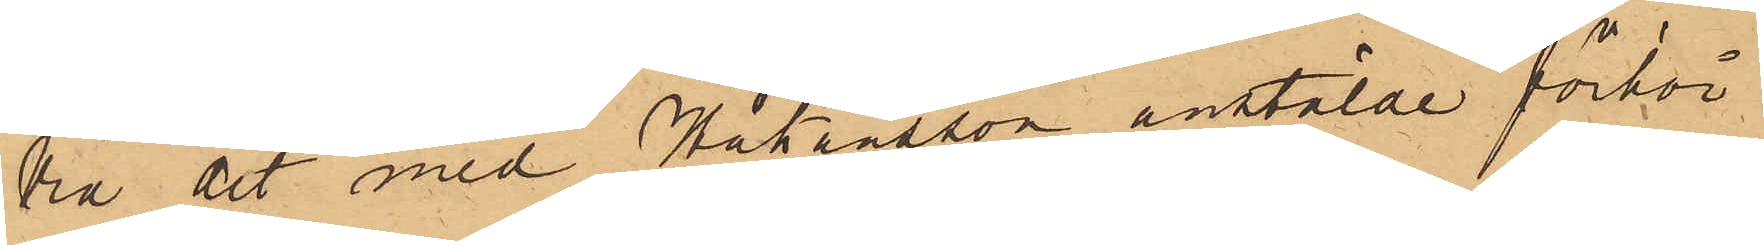Wid det med Håkansson anstälde förhör
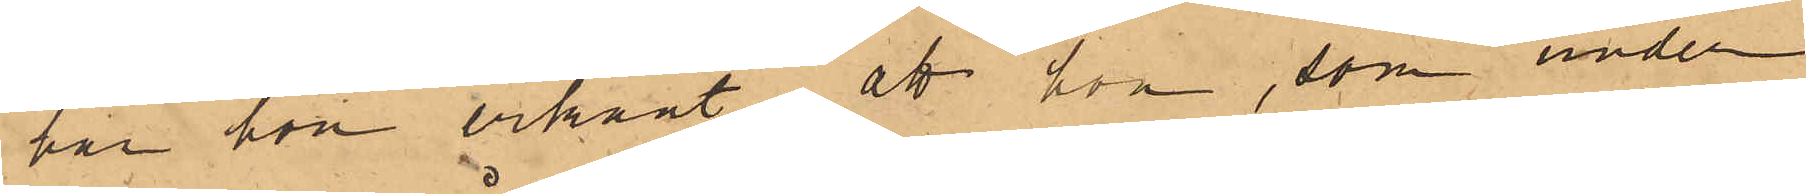har hon erkänt att hon, som under
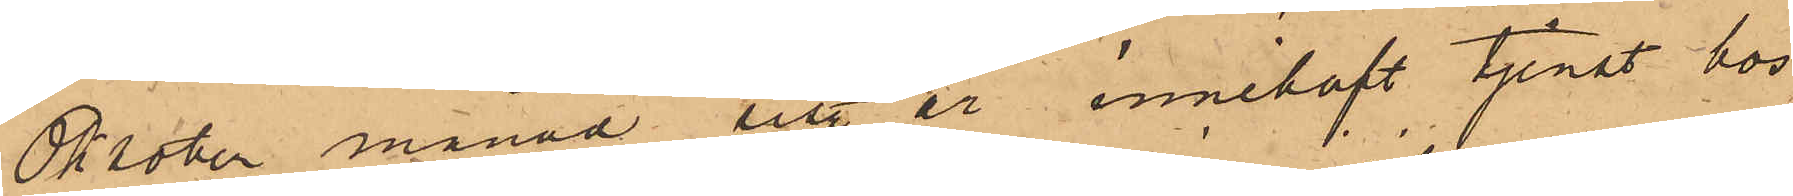Oktober månad sist. år innehaft tjenst hos
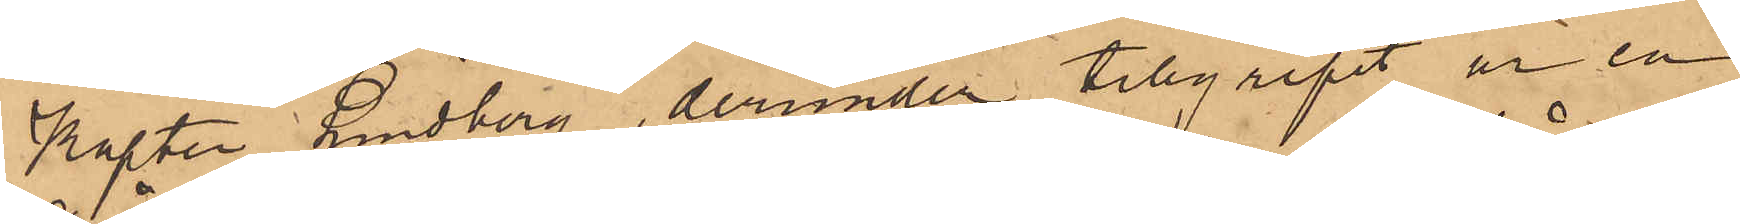Kapten Lindberg, derunder tillgripit ur en
